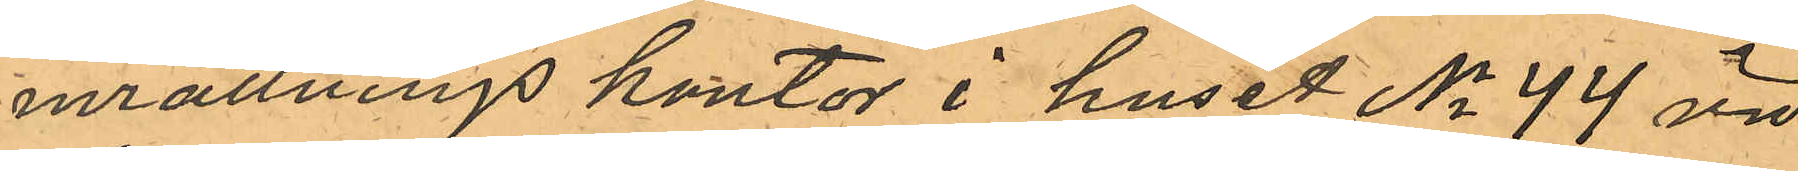inrättnings kontor i huset No 44 vid
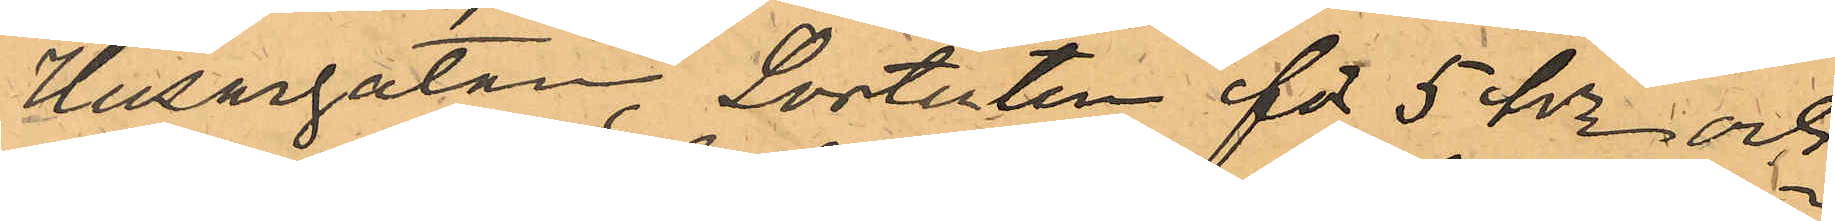Husargatan, Sortuten för 5 kr och
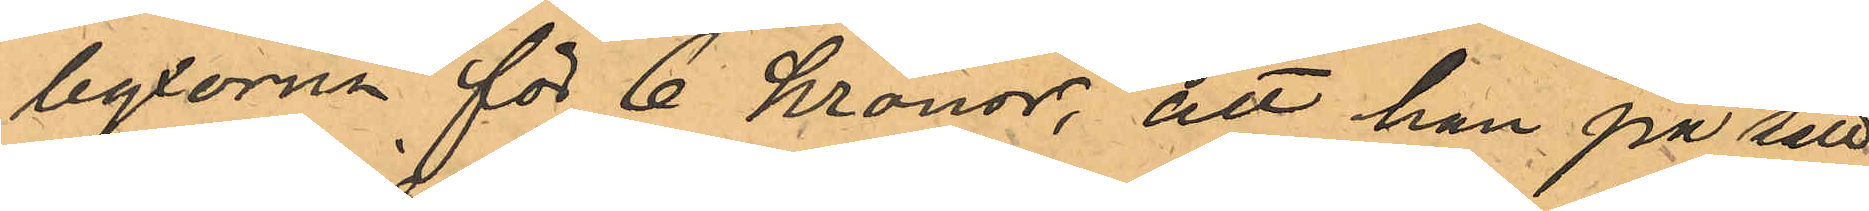byxorna för 6 kronor, att han på sätt 
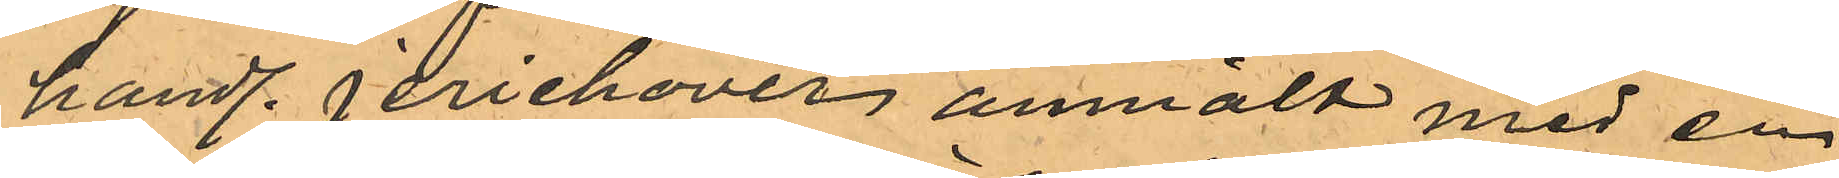handl. Jerichover anmält med en
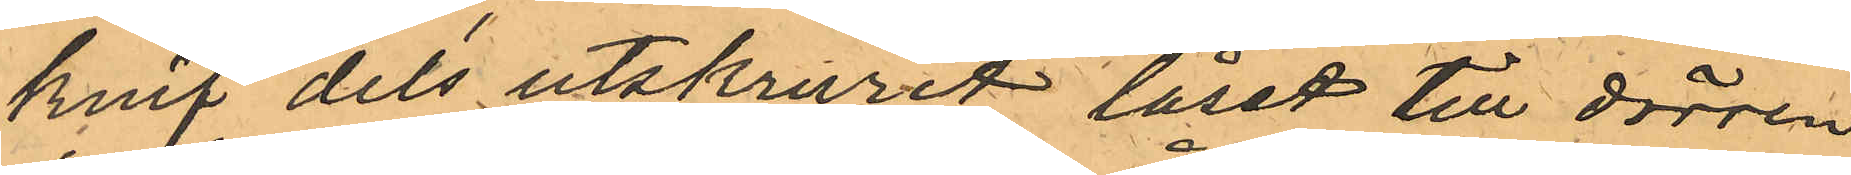knif dels utskurit låset till dörren
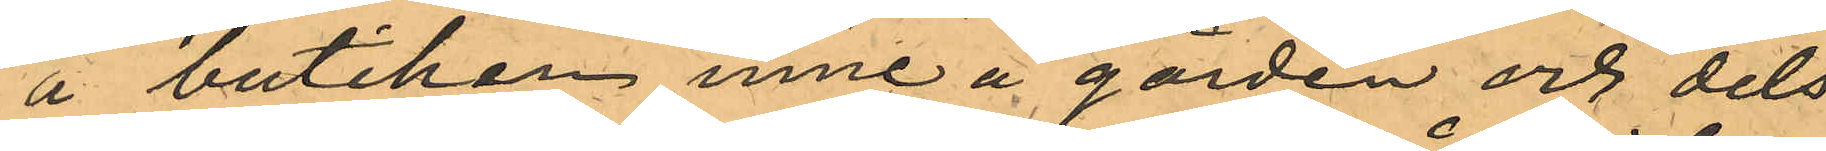å butiken inne å gården och dels
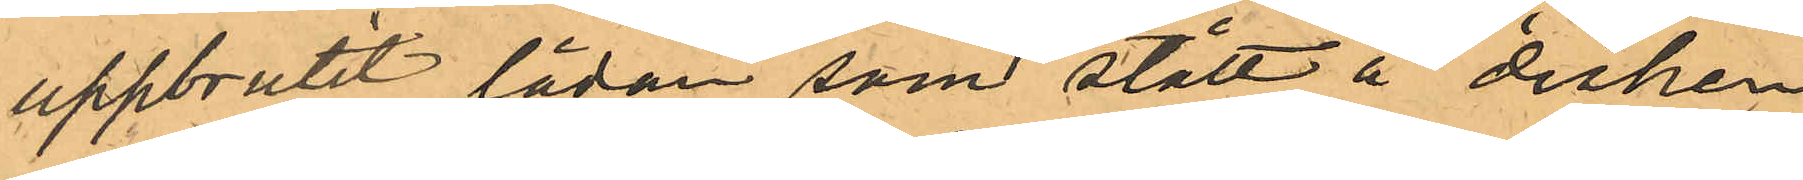uppbrutit lådan som stått å disken
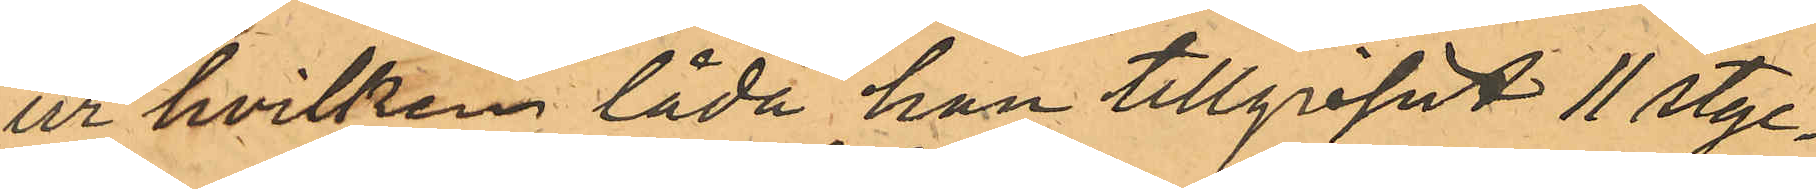ur hvilken låda han tillgripit 11 styc¬
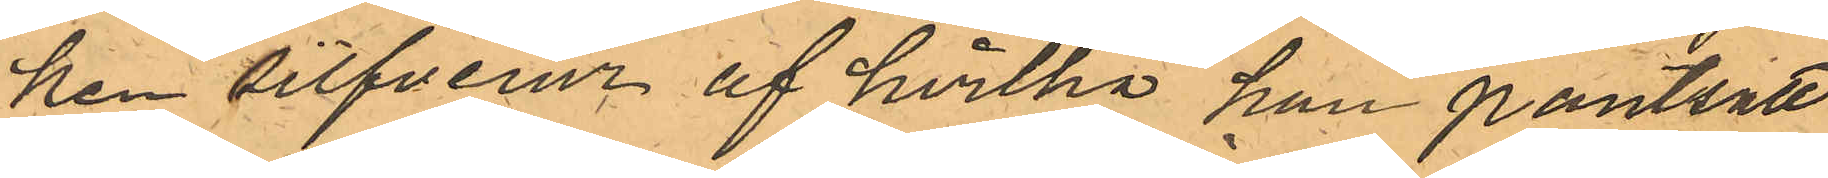ken silfverur af hvilka han pantsatt
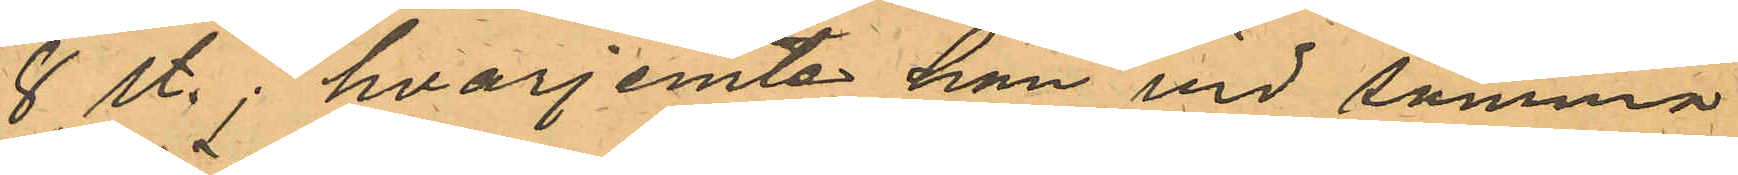8 st.;  hvarjemte han vid samma
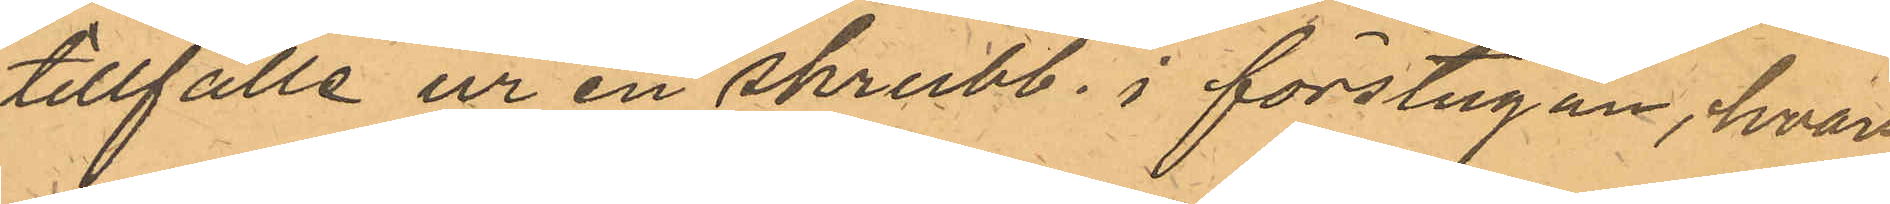tillfälle ur en skrubb i förstugan, hvars
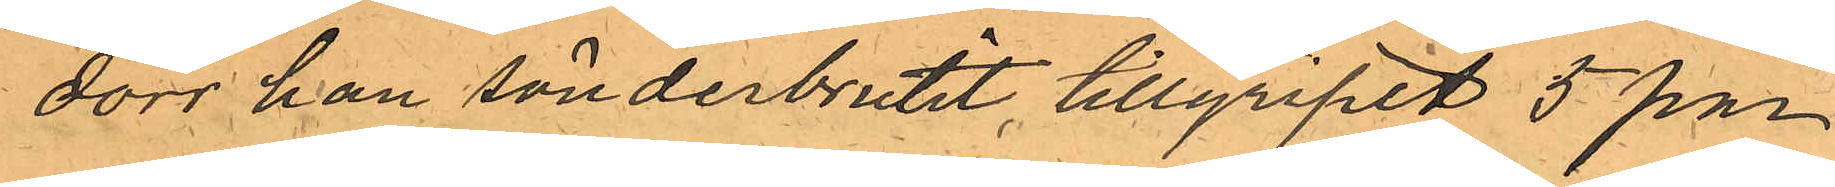dörr han sönderbrutit, tillgripit 5 par
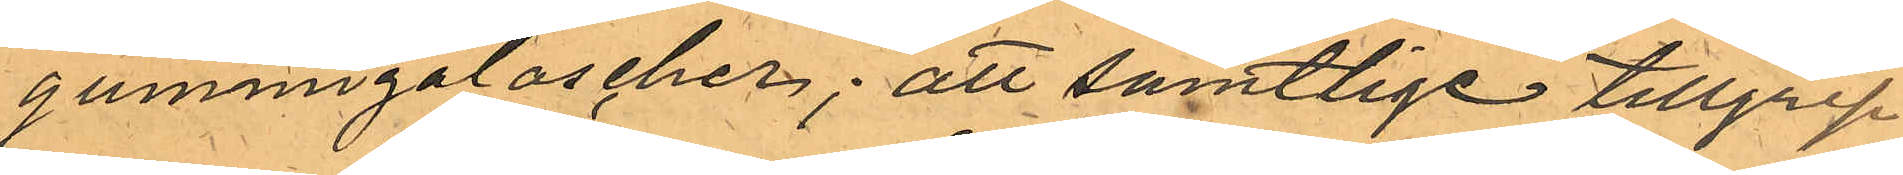gummigaloscher; att samtlige tillgrep¬
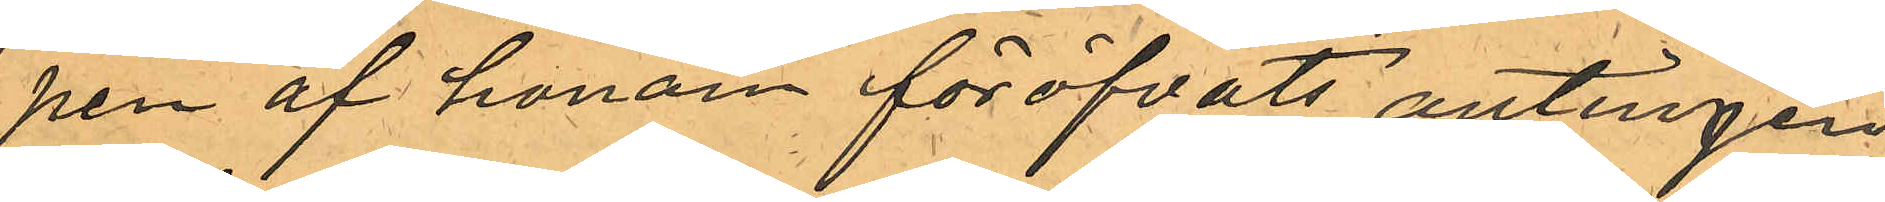pen af honom föröfvats antingen
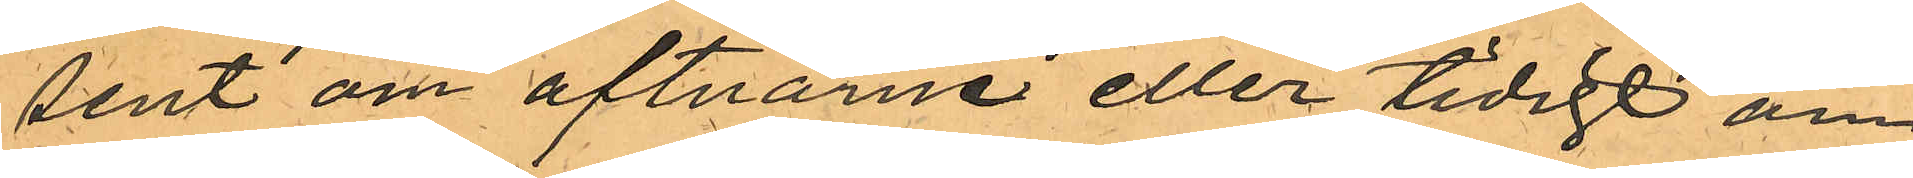sent om aftnarne eller tidigt om
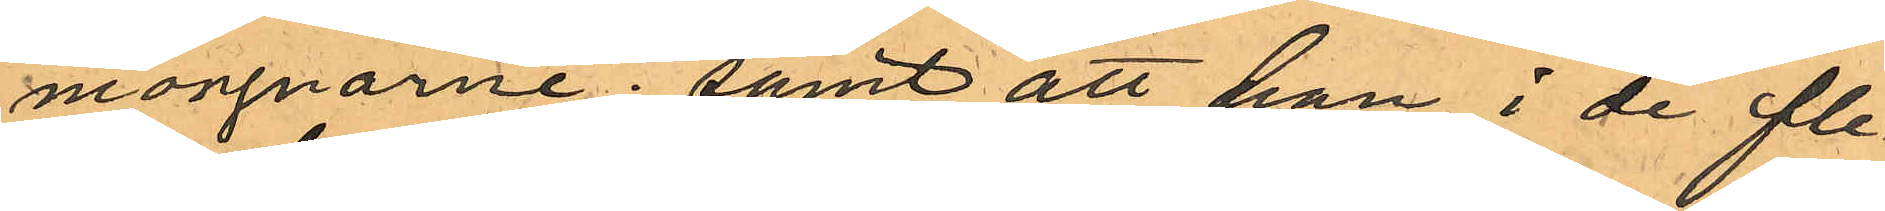morgnarne; samt att han i de fle¬
